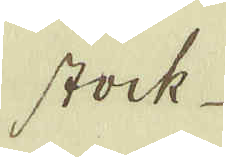stock
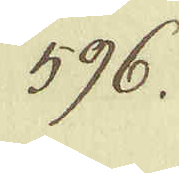596.
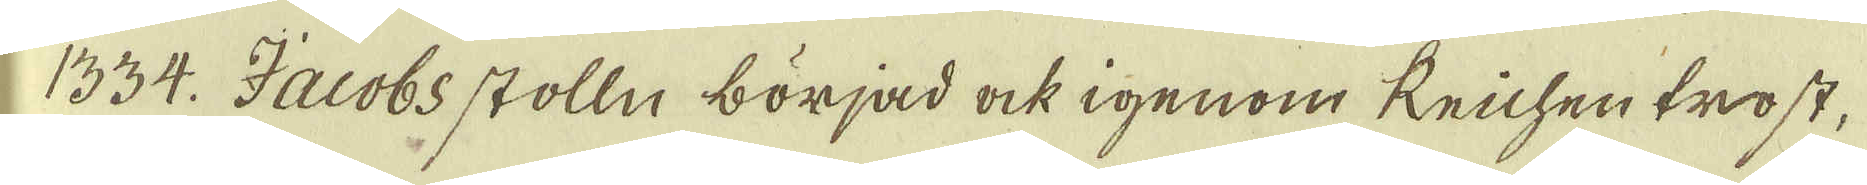1334. Jacobs stolln börjad ock igenom Reichentrost,
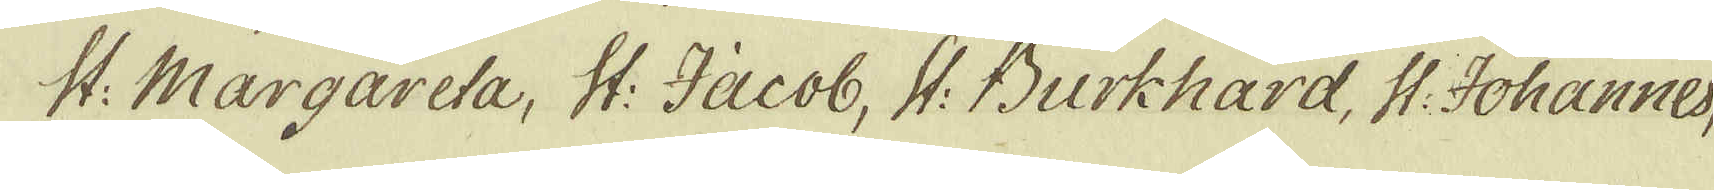St: Margareta, St: Jacob, St: Burkhard, St: Johannes,
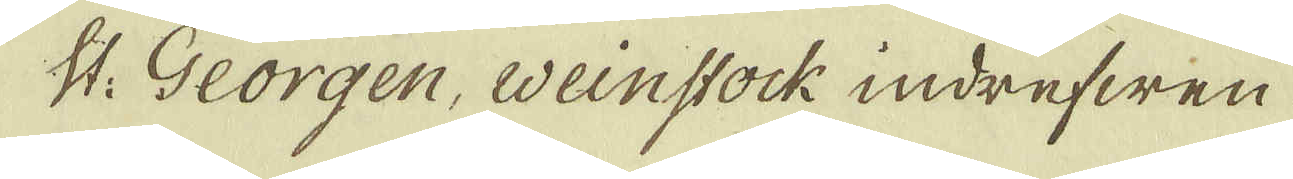St: Georgen, weinstock indrefwen
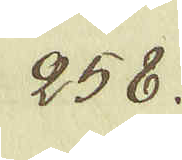258.
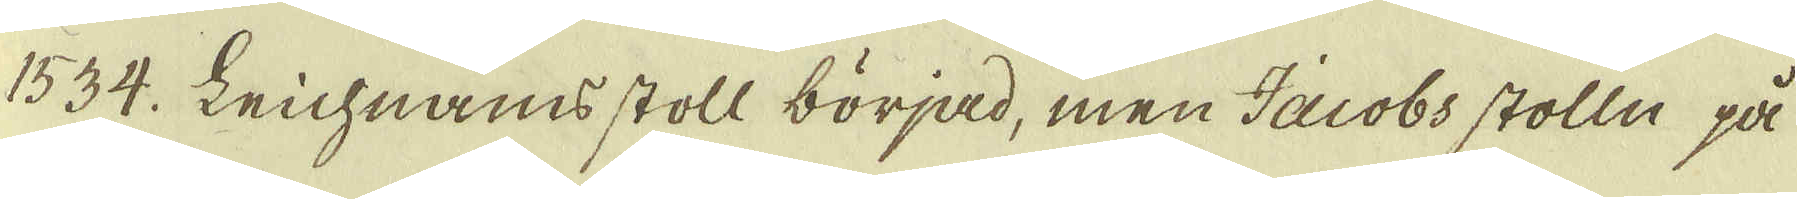1534. Leichnams stoll börjad, men Jacobs stolln på
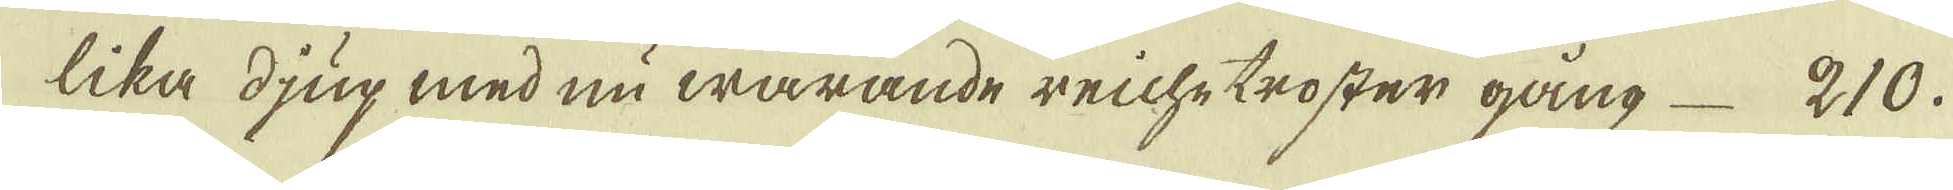lika djup med nu warande reichetroster gång 210.
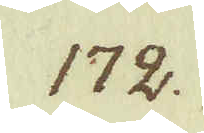172.
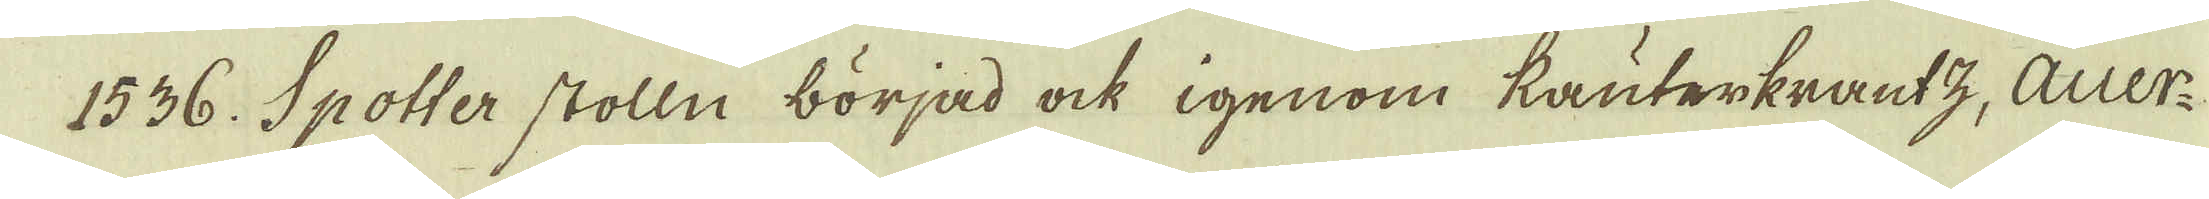1536. Spotter stolln börjad ock igenom kauterkrantz, Auer-
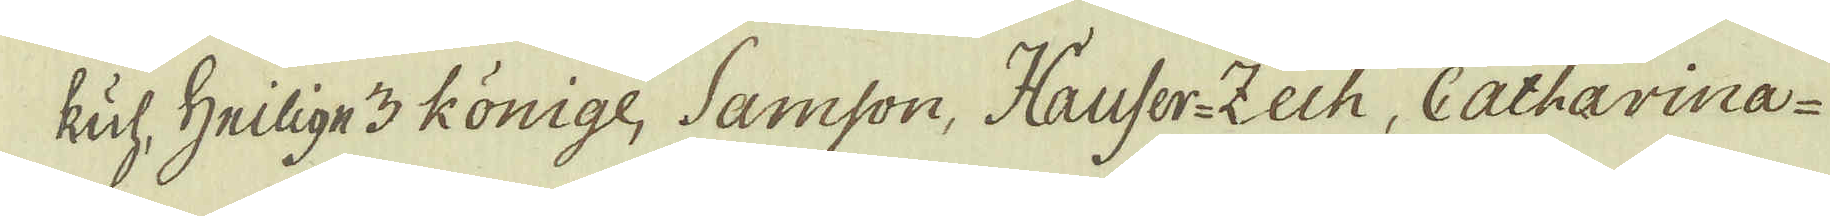kul, Heilige 3 Könige, Samson, Hauser-Zech, Catharina-
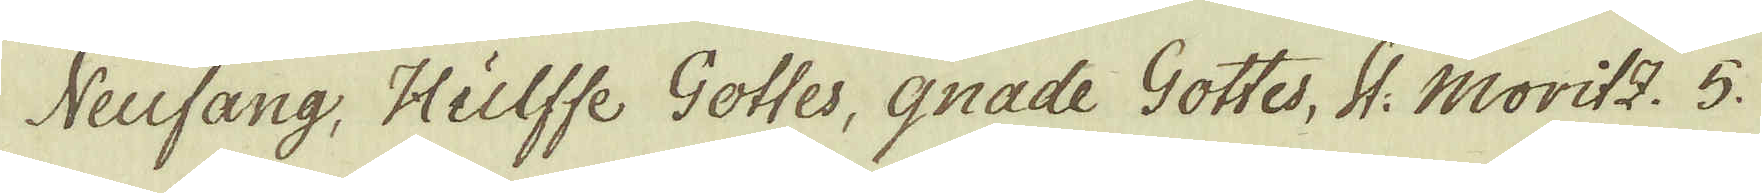Neufang, Hulffe Gottes, gnade Gottes, St: Moritz. 5.
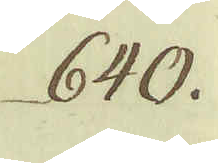640.
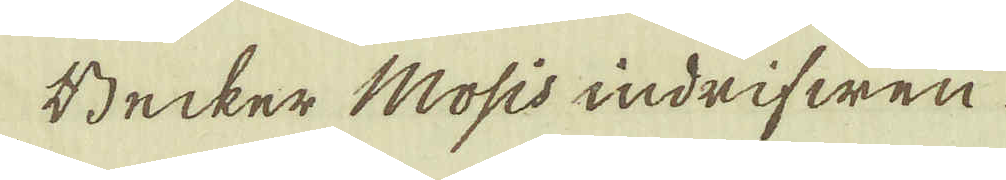Becker Mosis indrifwen
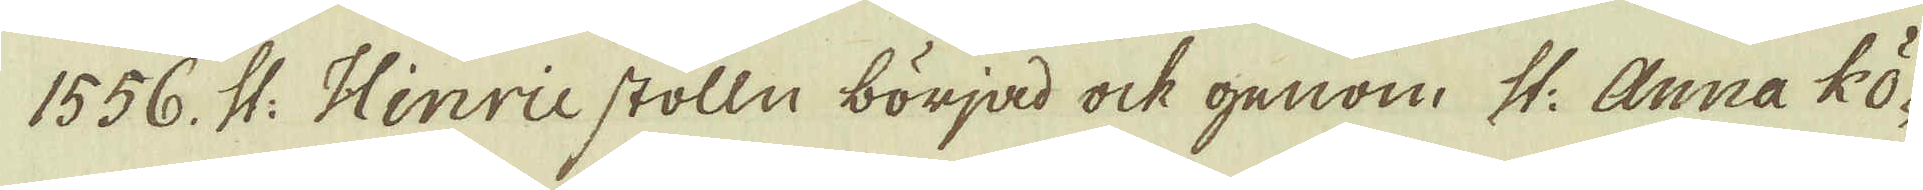1556. St: Hinric stolln börjad ock genom St: Anna kö-
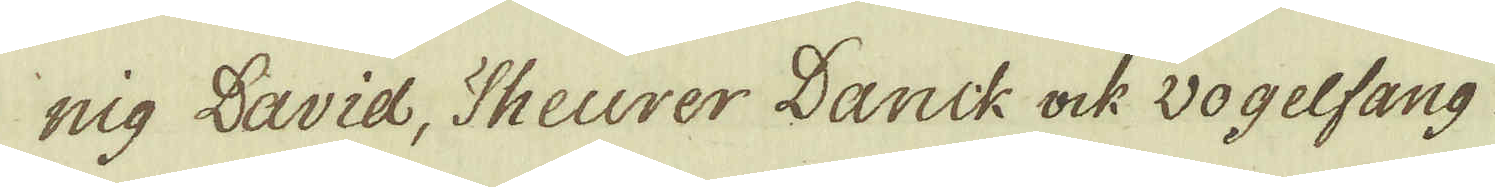nig David, Theurer Danck ock vogelfang
